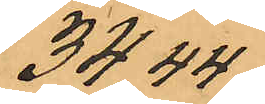34,44
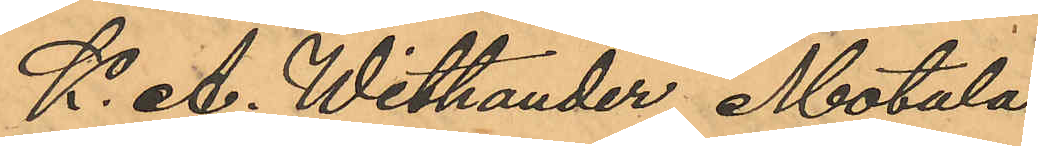K. A. Withander, Motala
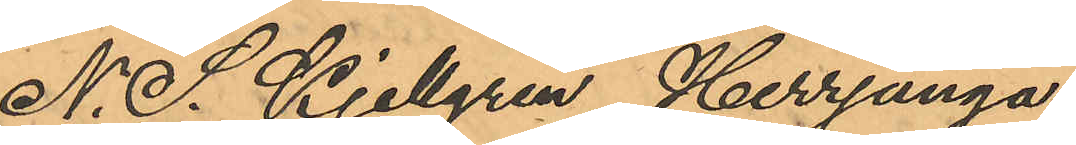N. S. Kjellgren, Herrjunga
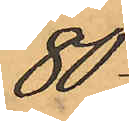80
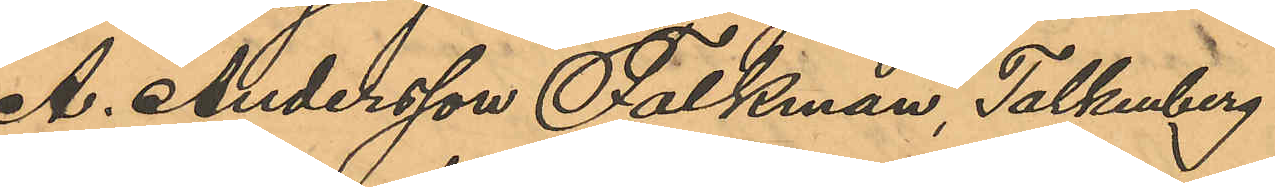A. Andersson Falkman, Falkenberg
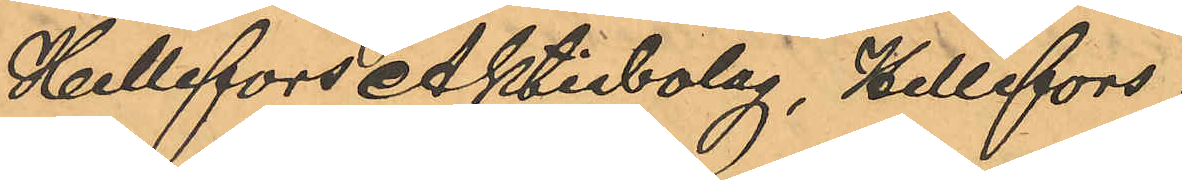Hellefors Aktiebolag, Hellefors
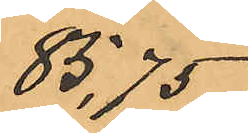85,75
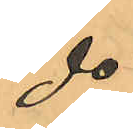do
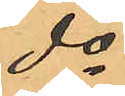do
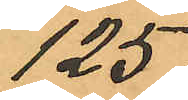125
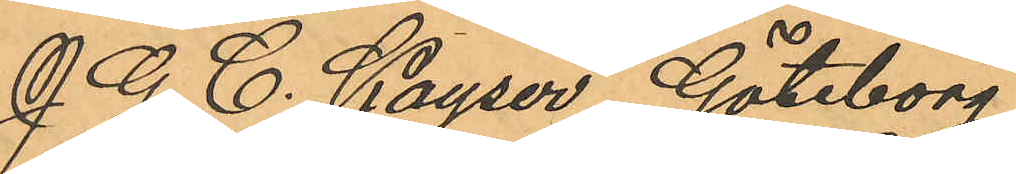J. G. C. Kayser, Göteborg
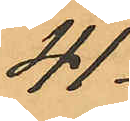41
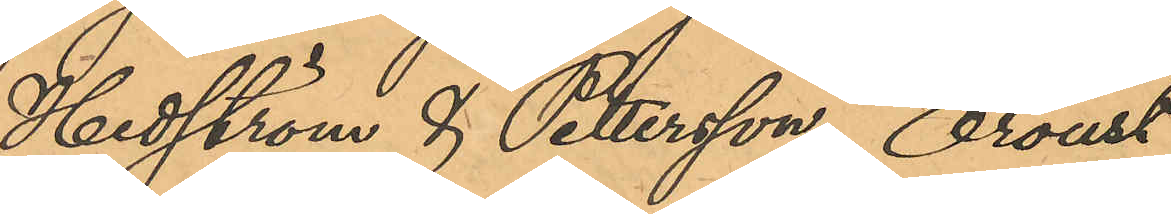Hedström & Petersson, Oroust
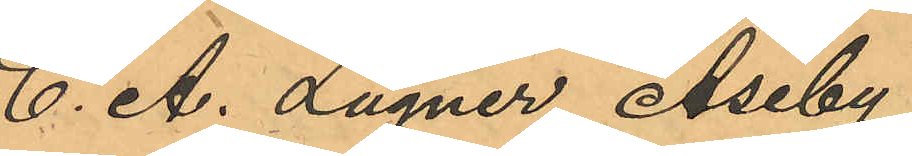C. A. Lugner, Åseby
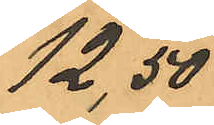12,50
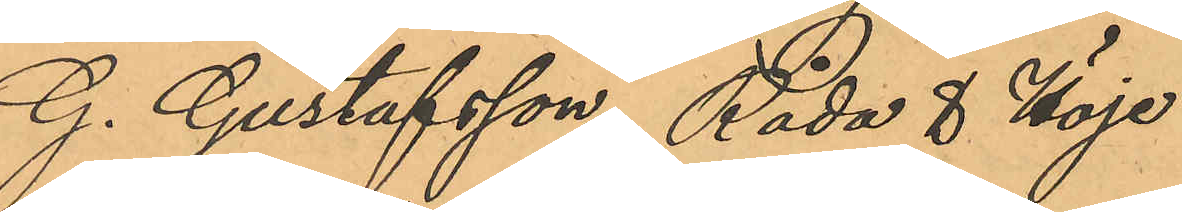G. Gustafsson, Råda & Höje
